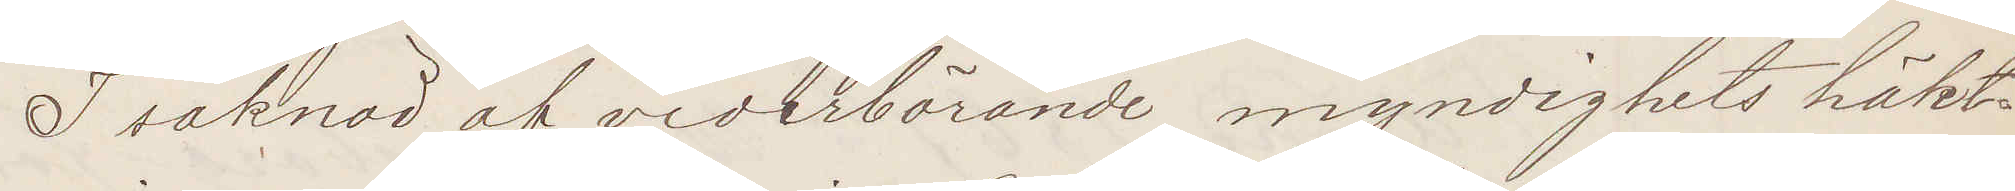I saknad af vederbörande myndighets häkt¬
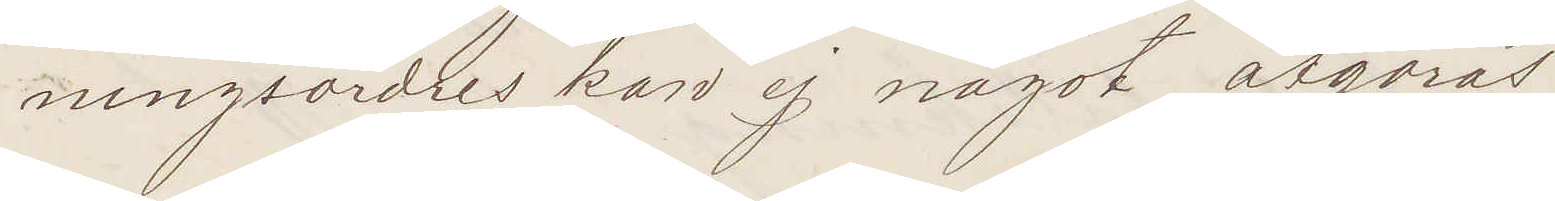ningsordres kan ej något åtgöras.
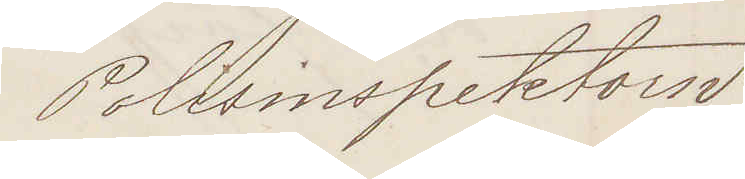Polisinspektorn
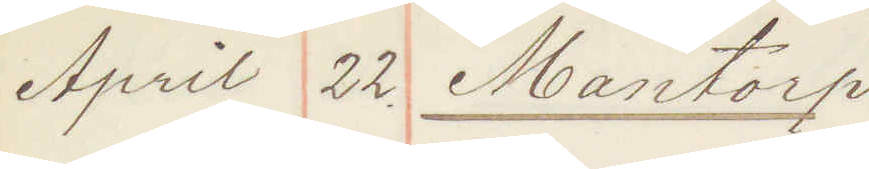April 22. Mantorp
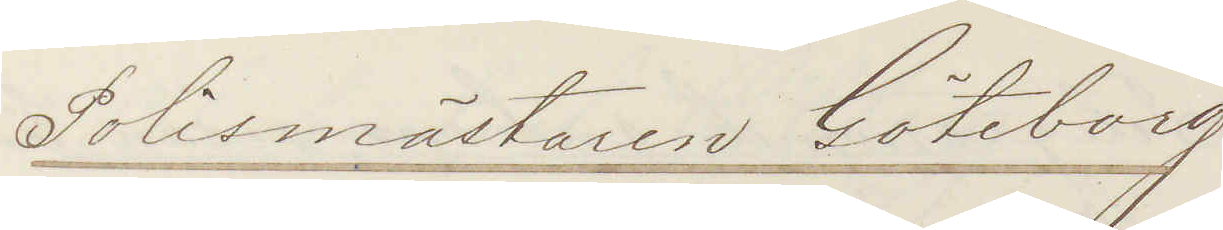Polismästaren Göteborg
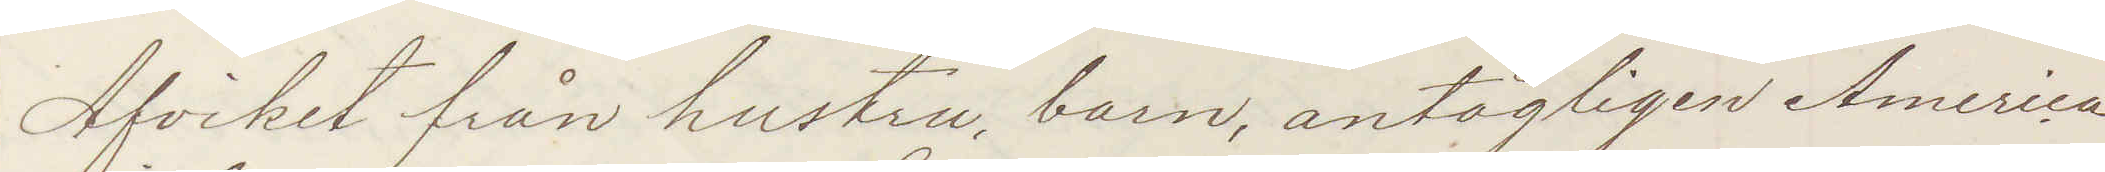Afvikit från hustru, barn, antagligen America
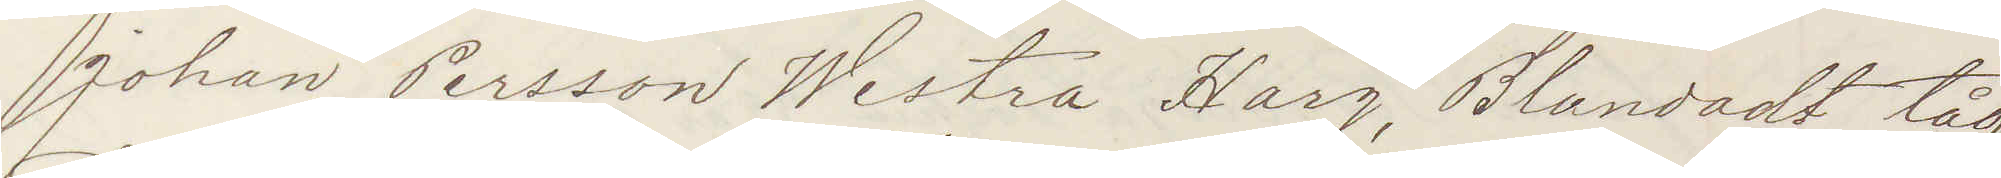Johan Persson Westra Harg, Blandadt tåg,
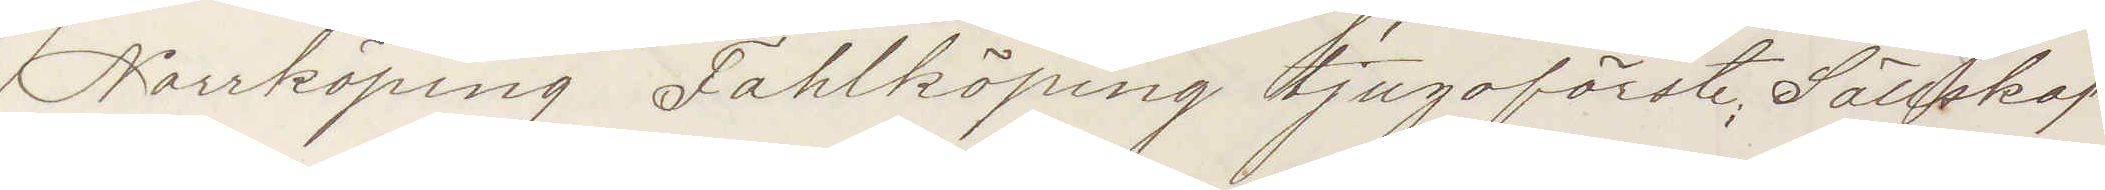Norrköping Falköping tjugoförste, Sällskap
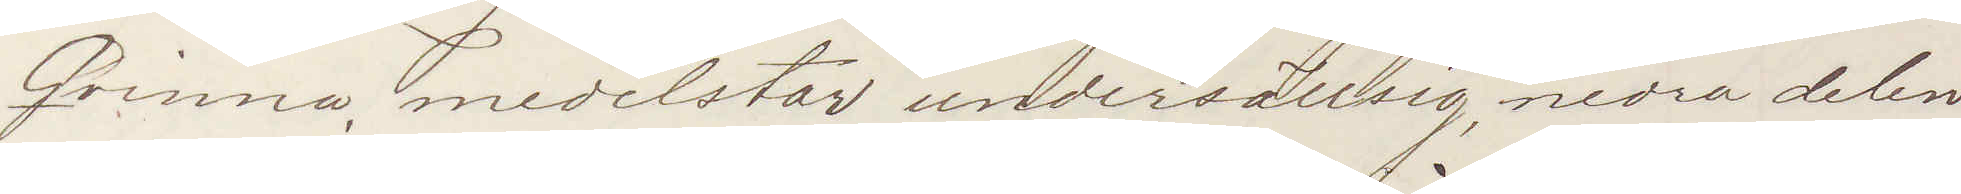Qvinna, medelstor undersättsig, nedra delen
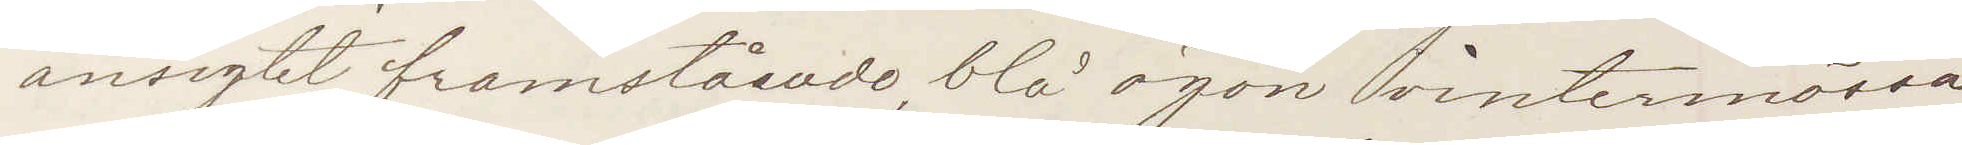ansigtet framstående, blå ögon vintermössa,
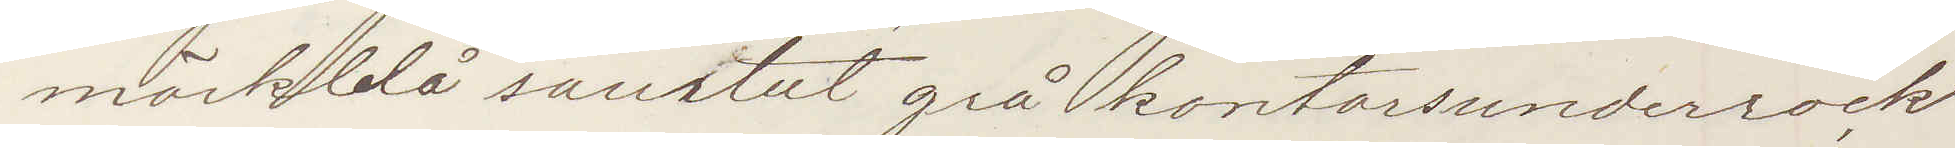mörkblå saurtut grå kontorsunderrock
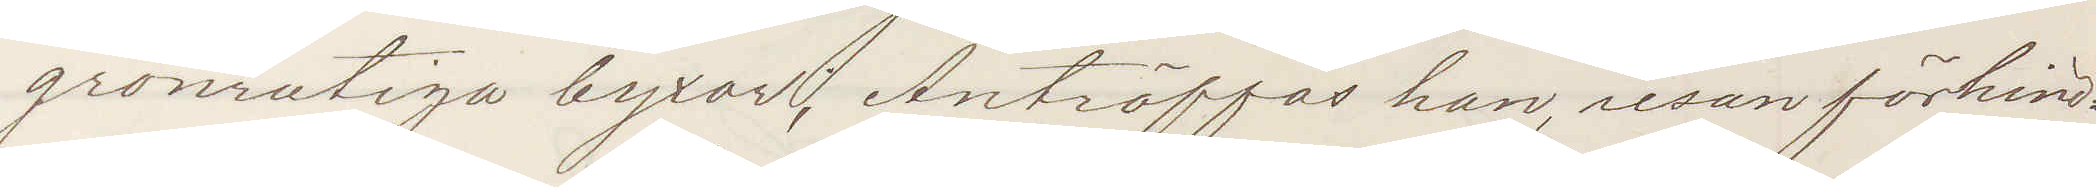grönrutiga byxor; Anträffas han resan förhind¬
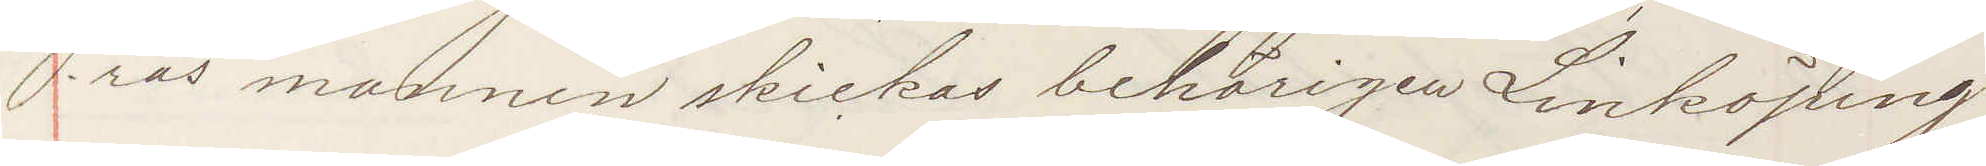ras mannen skickas behörigen Linköping.
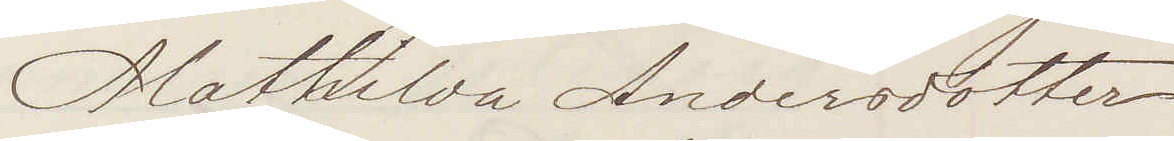Mathilda Andersdotter
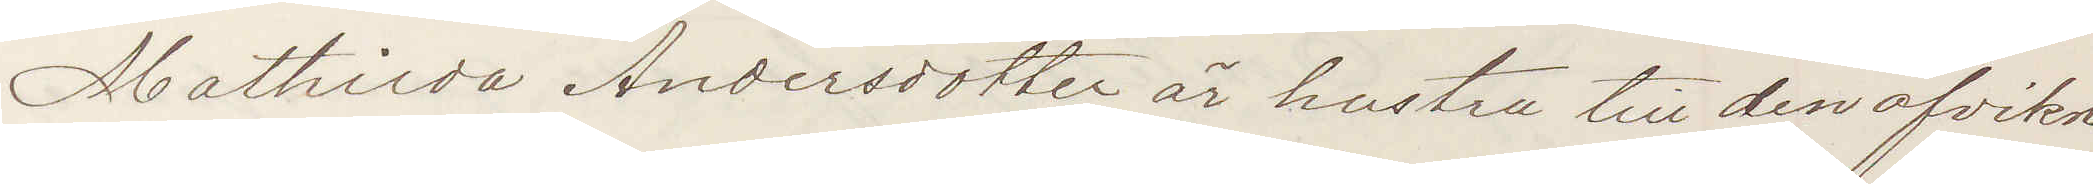Mathilda Andersdotter är hustru till den afvikne
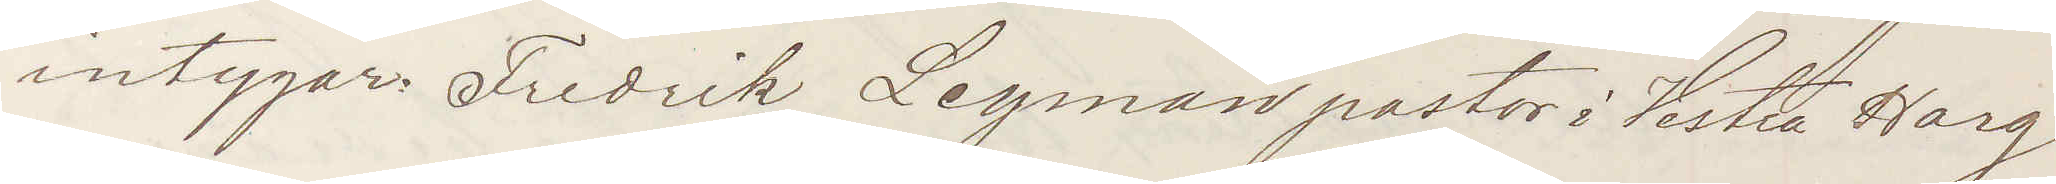intygar Fredrik Leyman pastor i Vestra Harg
